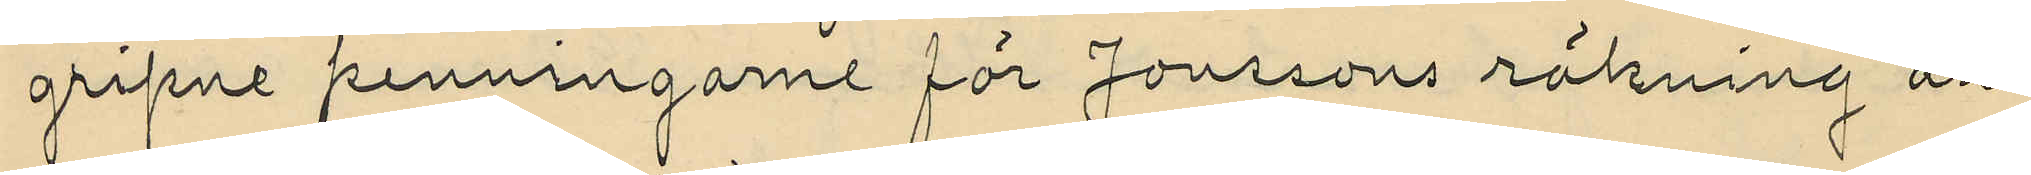gripne penningarne för Jonssons räkning an¬
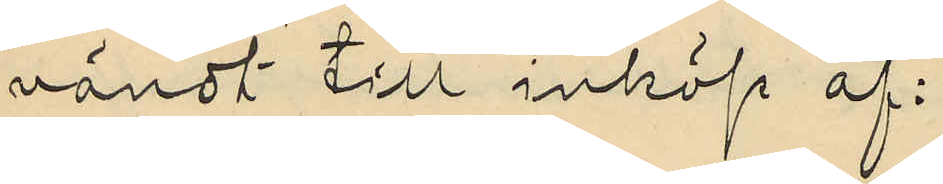vändt till inköp af:
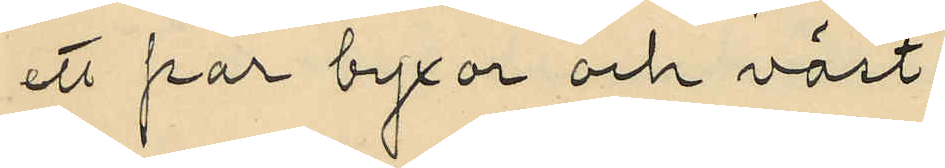ett par byxor och väst
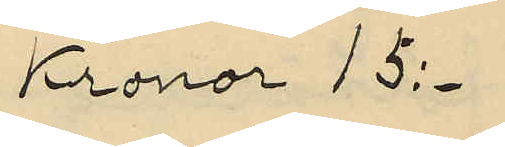Kronor 15:-
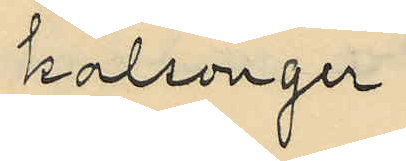 kalsonger
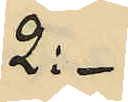2:-
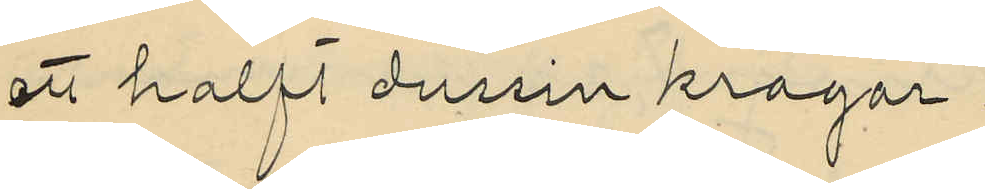ett halft dussin kragar
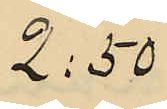2:50
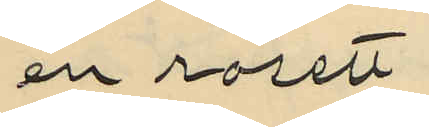en rosett
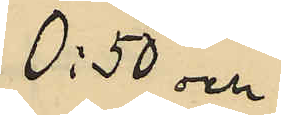0:50 och
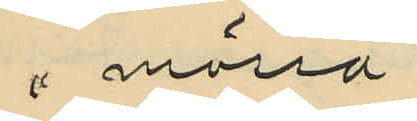" mössa
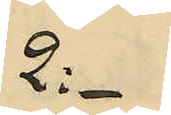2:-
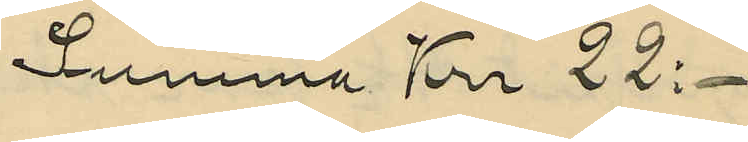Summa Krr 22:-
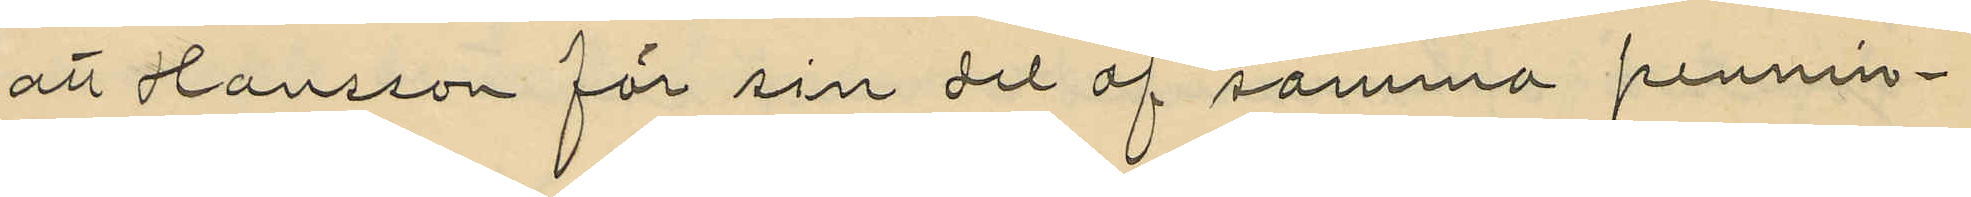att Hansson för sin del af samma pennin¬
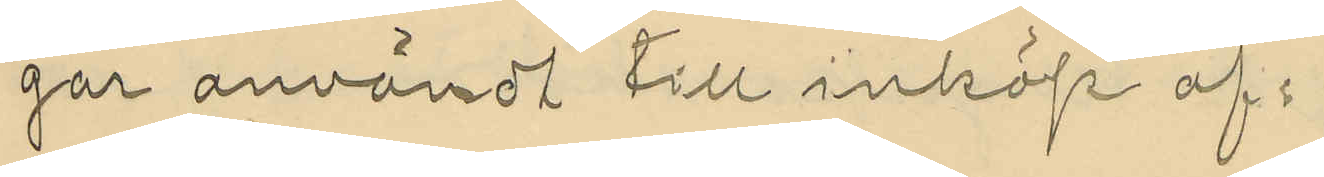gar användt till inköp af:
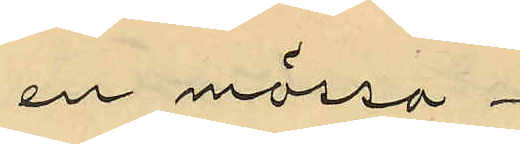en mössa
